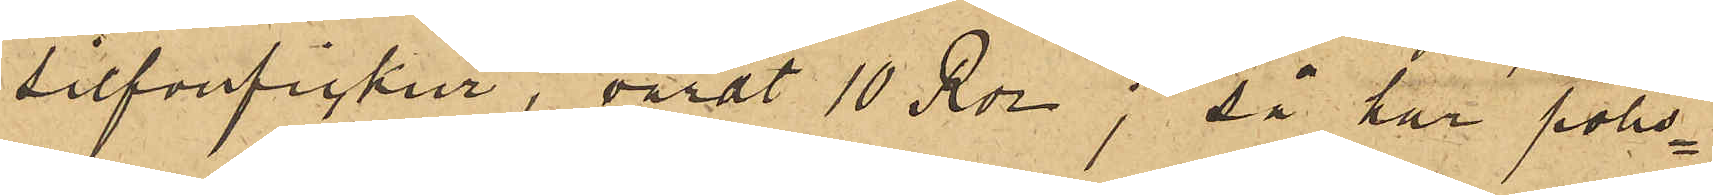silfverfickur, värdt 10 Rdr; så har polis¬
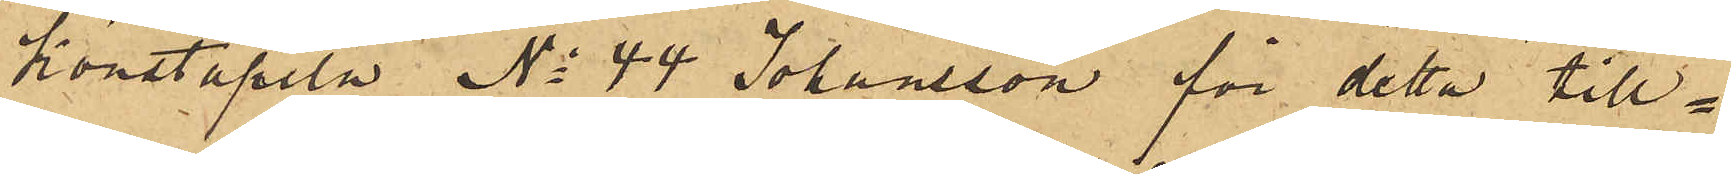konstapeln No 44 Johansson för detta till¬
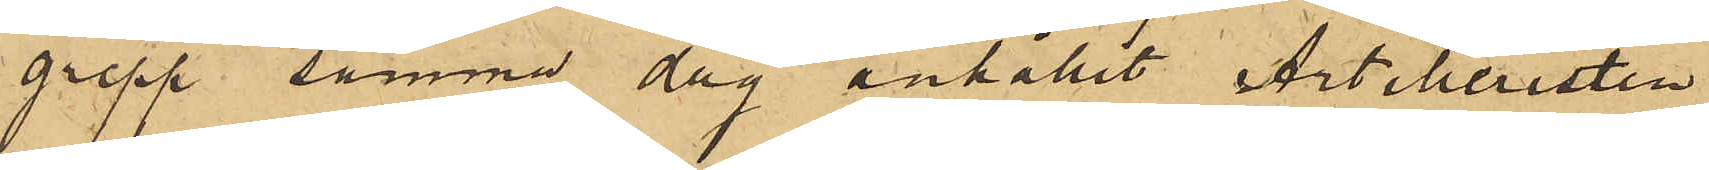grepp samma dag anhållit Artilleristen
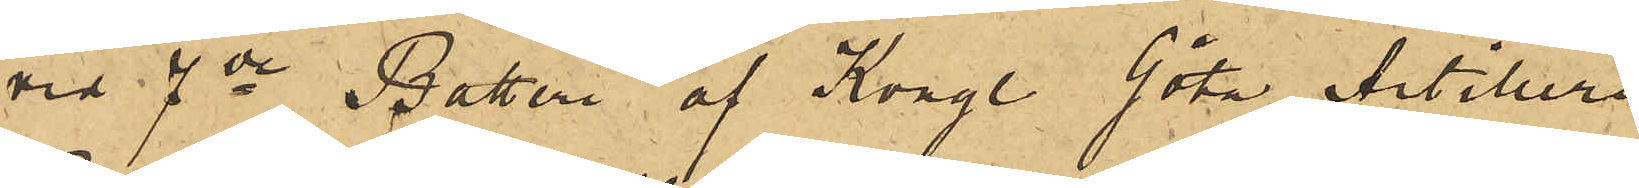vid 7de Batteri af Kongl. Göta Artilleri
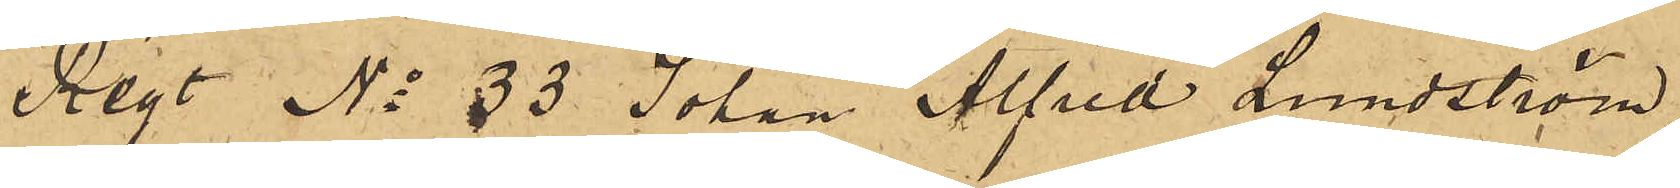Regt No 33 Johan Alfred Lundström,
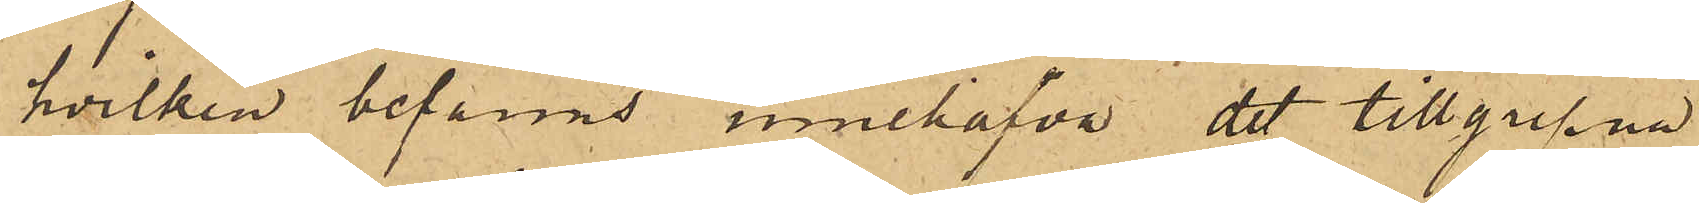hvilken befanns innehafva det tillgripne
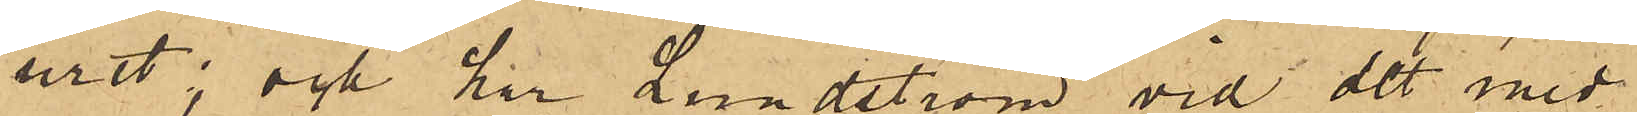uret; och har Lundström vid det med
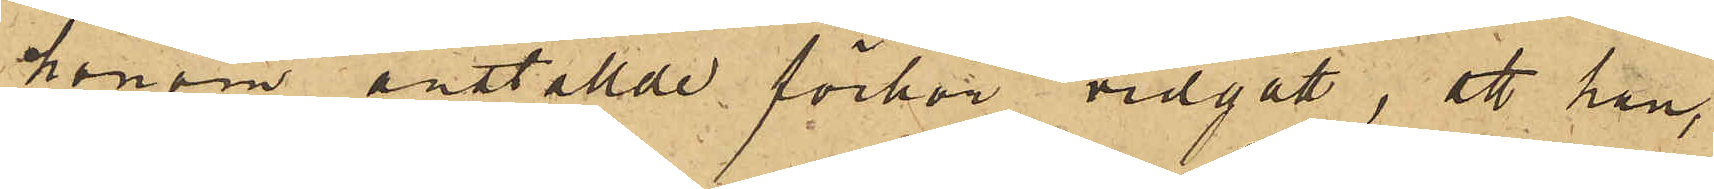honom anställde förhör vidgått, att han,
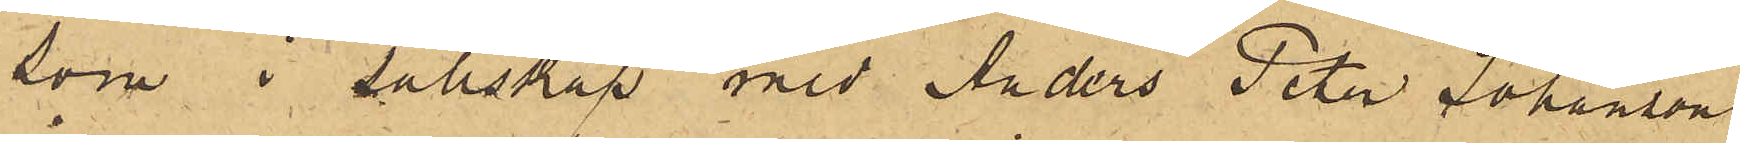som i sällskap med Anders Peter Johanson
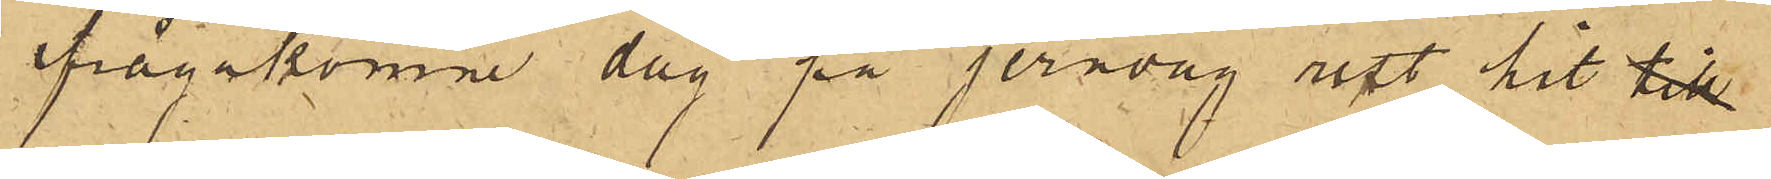ifrågakomne dag på jernväg rest hit till
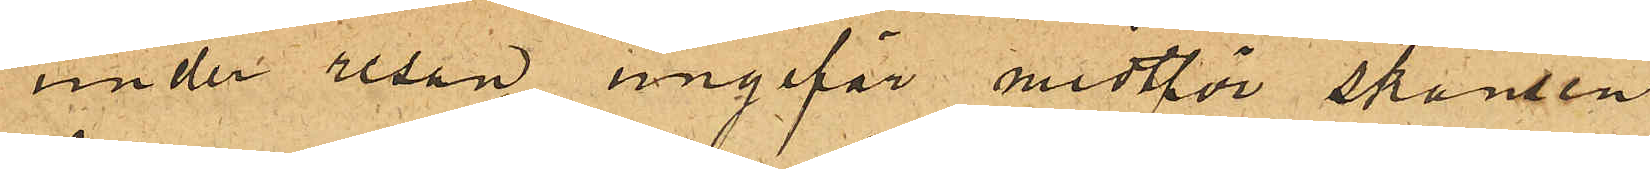under resan ungefär midtför skansen
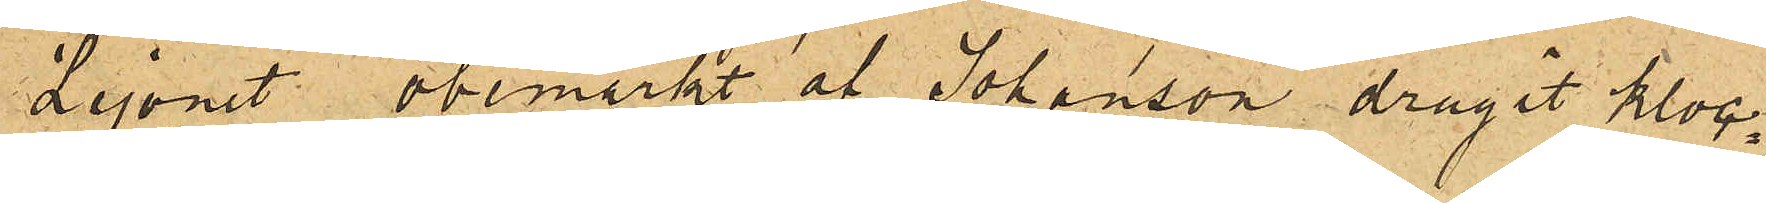Lejonet obemärkt af Johanson dragit kloc¬
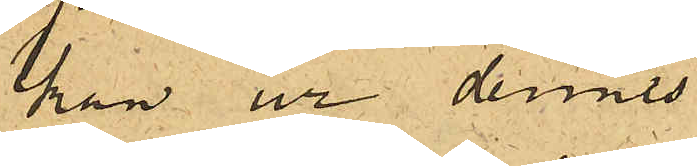kan ur dennes
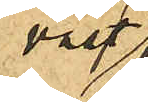väst¬
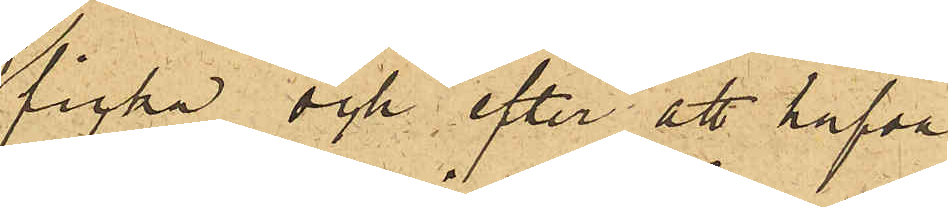ficka och efter att hafva
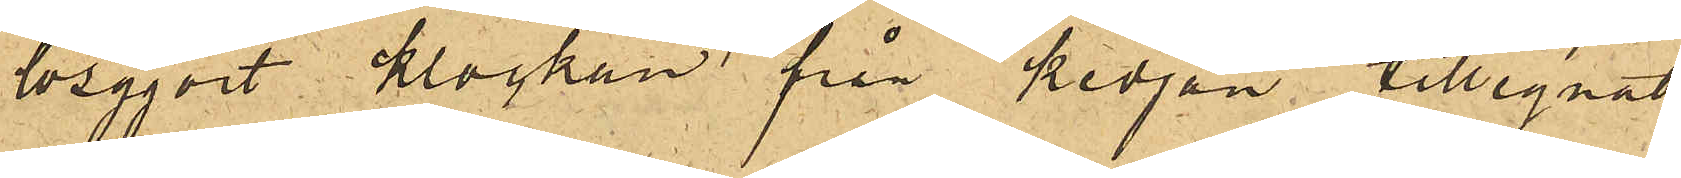lösgjort klockan från kedjan tillegnat
